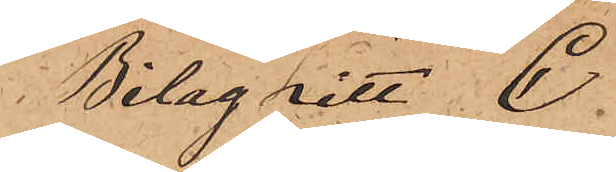Bilag Litt. C.
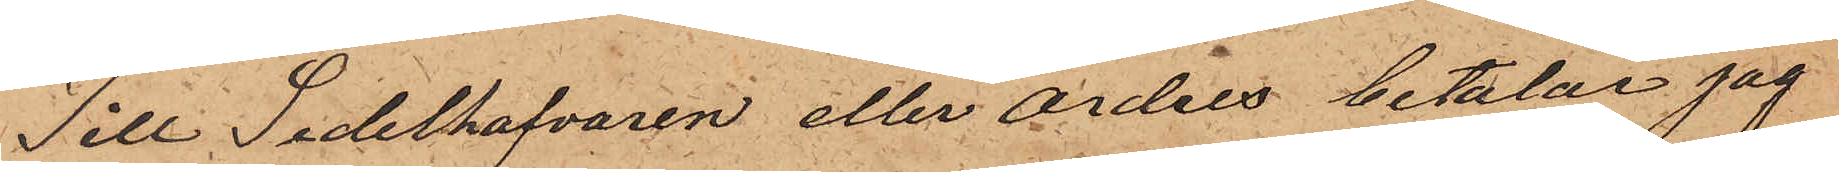Till Sedelhafvaren eller Ordres betalar jag
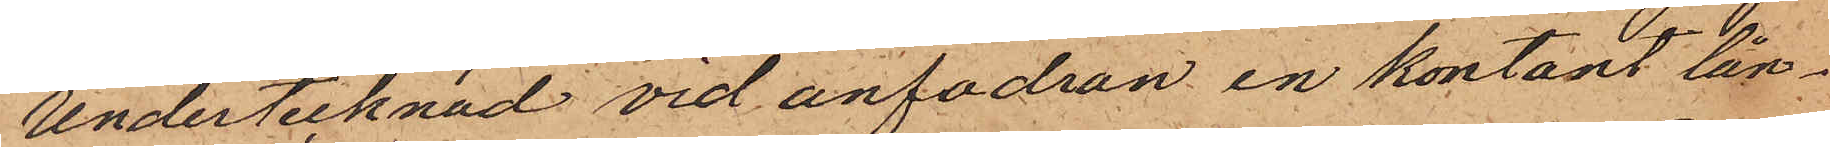Undertecknad vid anfodran en kontant lån¬
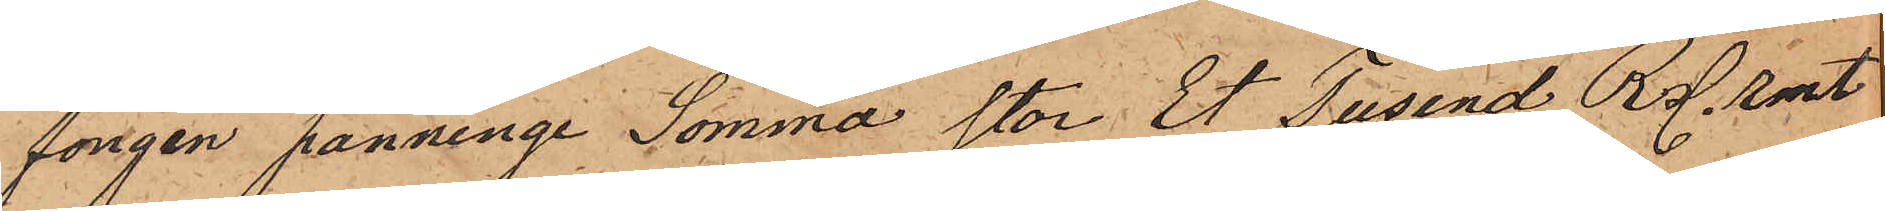fongen pänninge Somma stor Et Tusend R. rmt
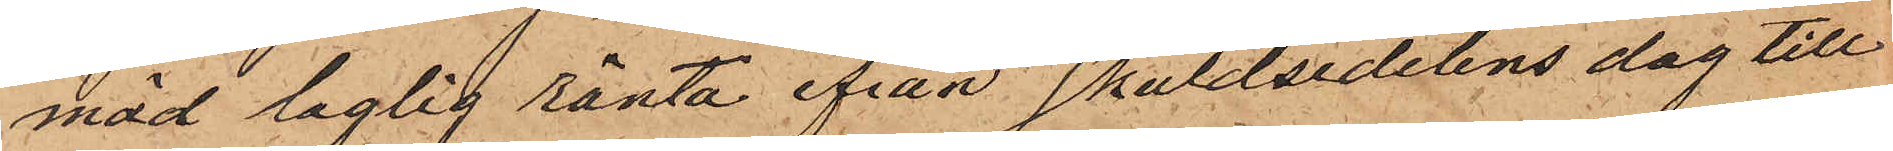mäd laglig ränta ifrån skuldsedelens dag till
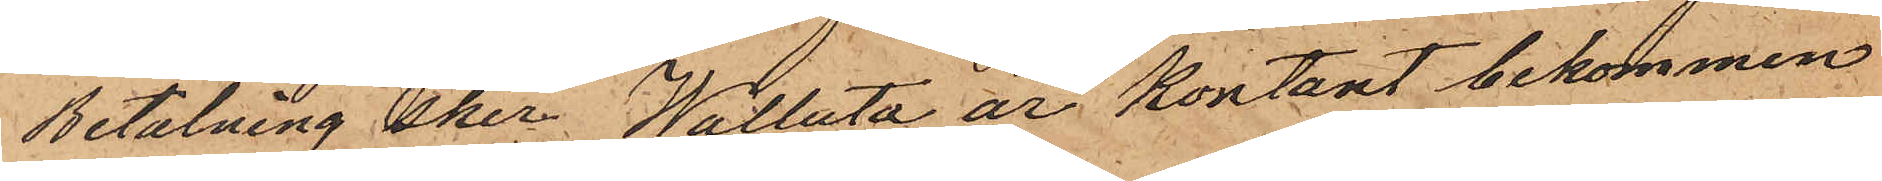Betalning sker. Walluta är kontant bekommen
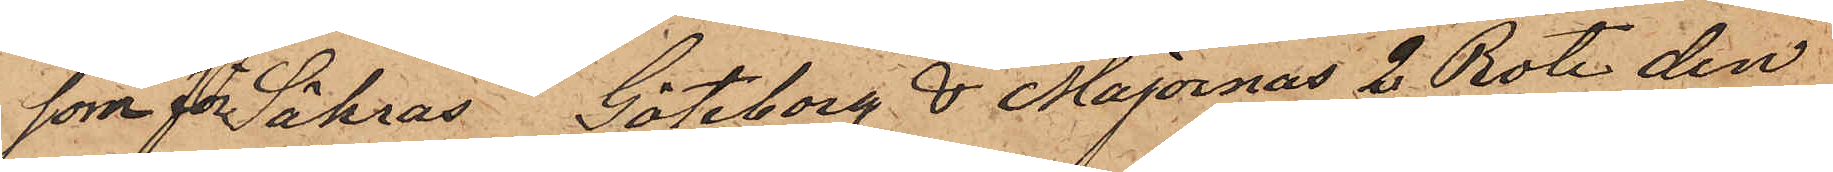som förSäkras. Göteborg & Majornas 2 Rote den
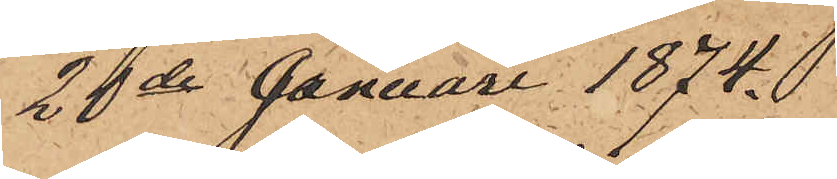20de Januari 1874.
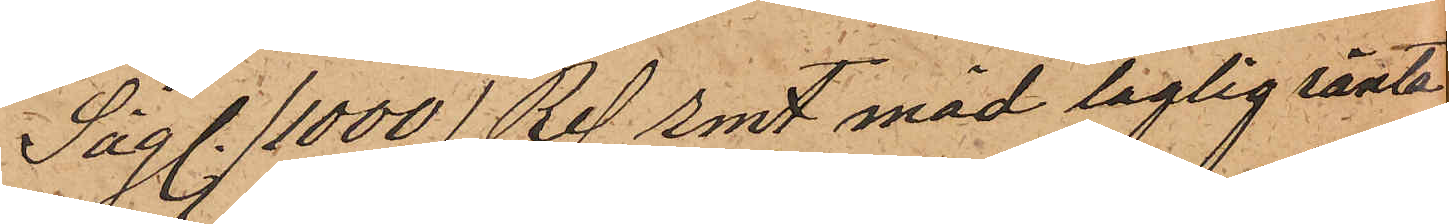Säg. (1000) Rd. rmt med laglig ränta
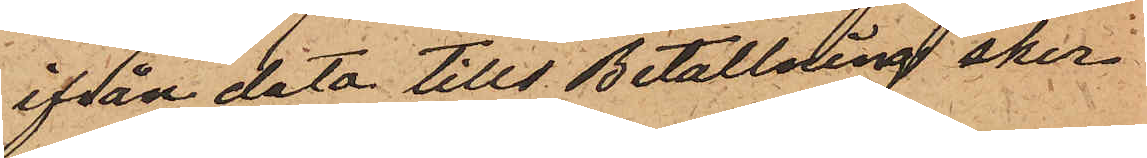ifrån data tills Betallning sker
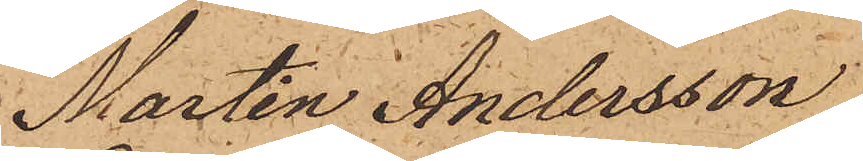Martin Andersson
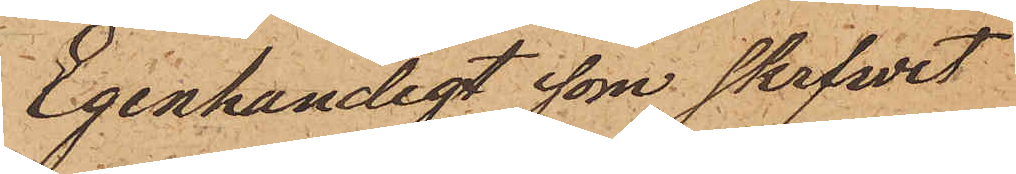Egenhandigt som skrfwet
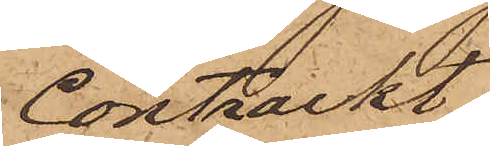Contrackt
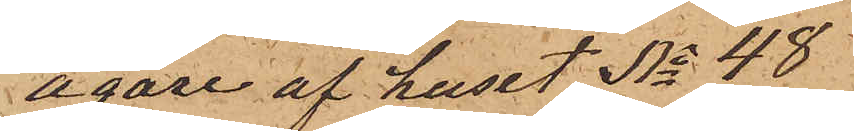ägare af huset No 48
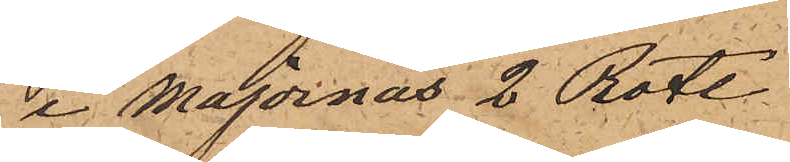i Majornas 2 Rote
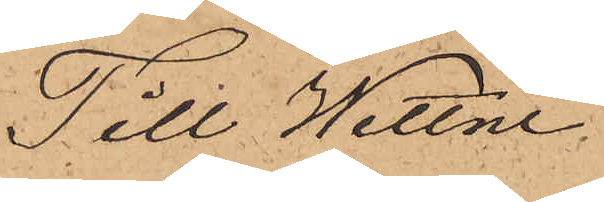Till Wettne
